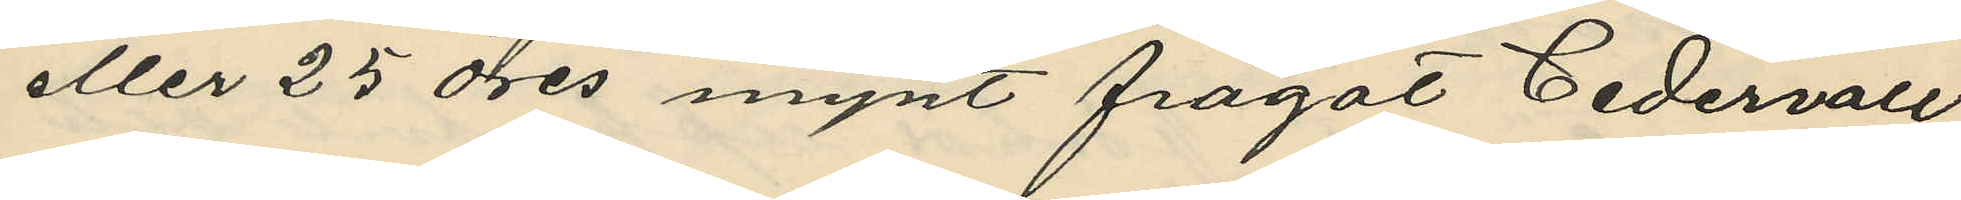eller 25 öres mynt frågat Cedervall
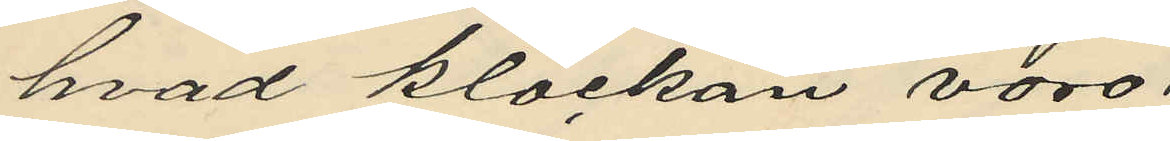hvad klockan voro;
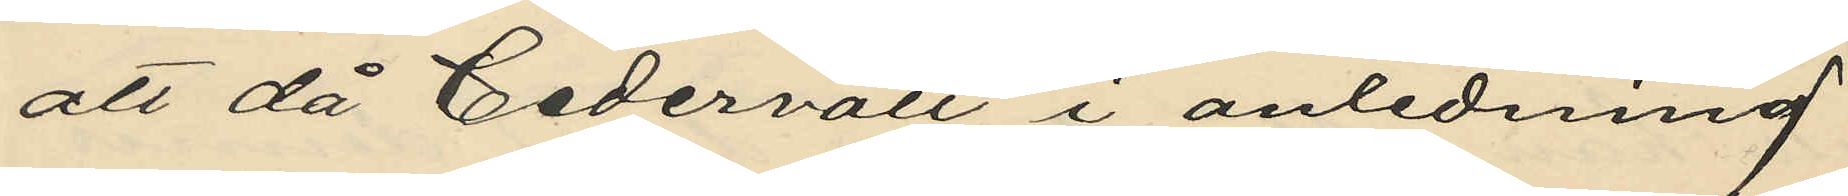att då Cedervall i anledning
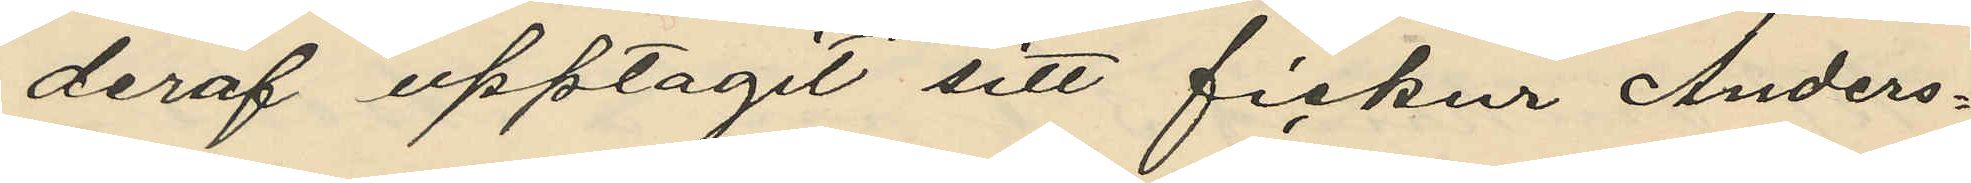deraf upptagit sitt fickur Anders¬
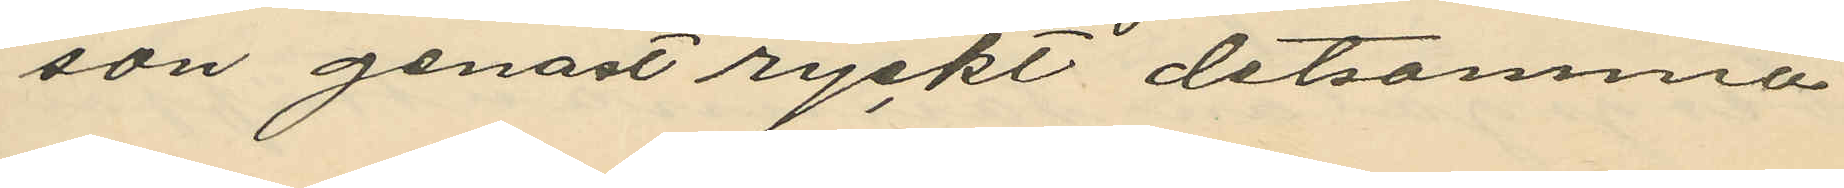son genast ryckt detsamma
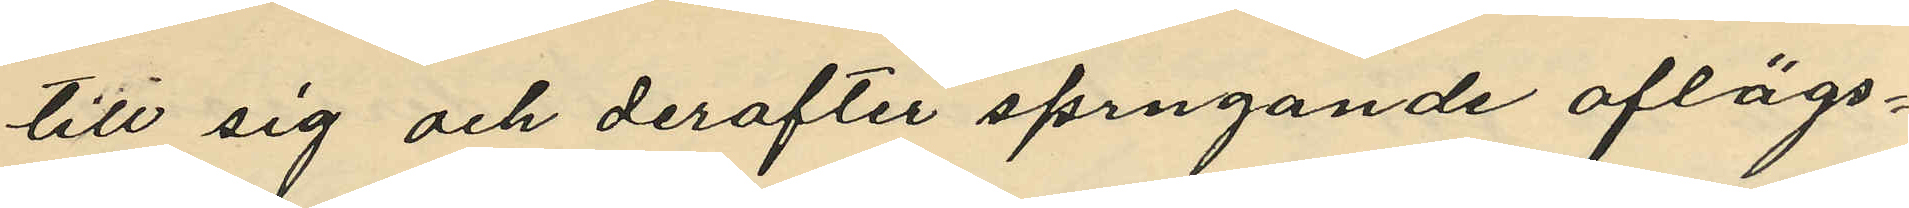till sig och derafter sprngande aflägs¬
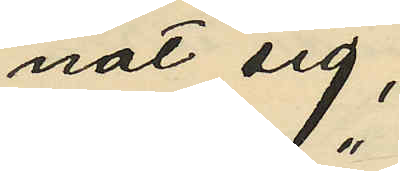nat sig;
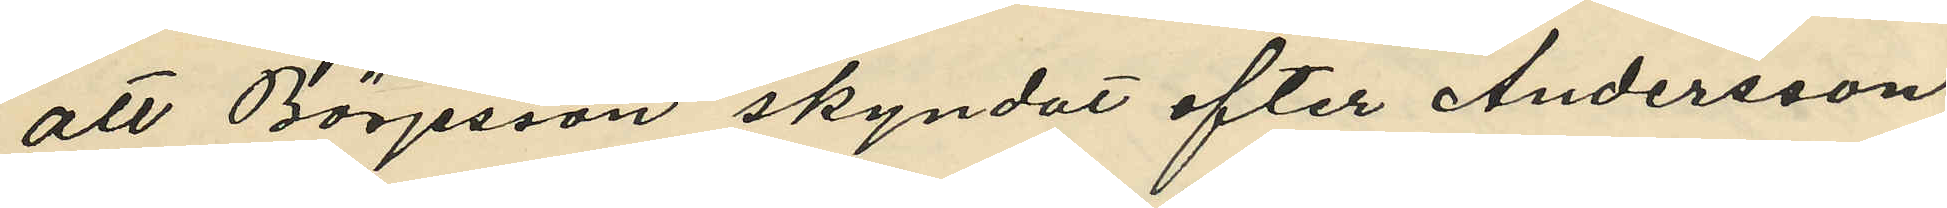att Börjesson skyndat efter Andersson
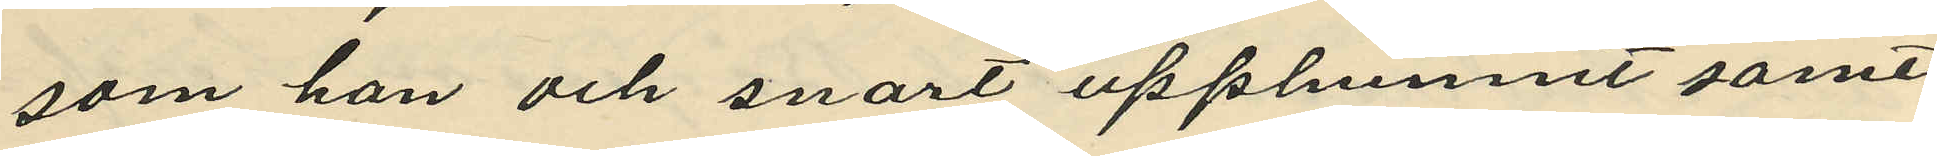som han och snart upphunnit samt
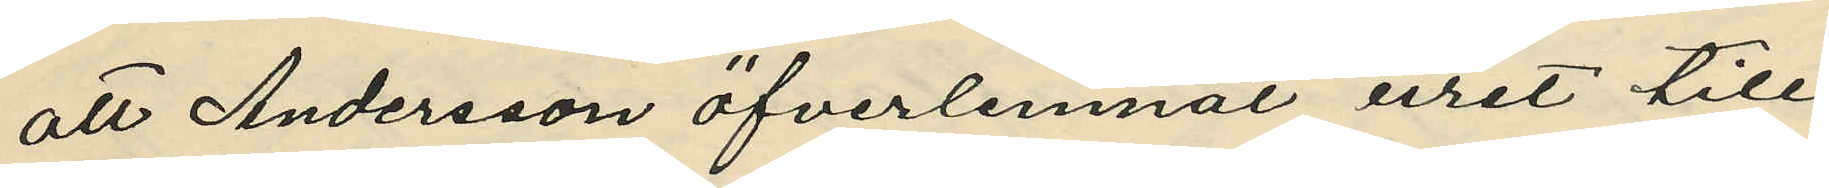att Andersson öfverlemnat uret till
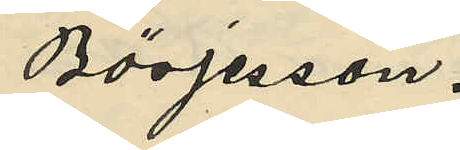Börjesson.
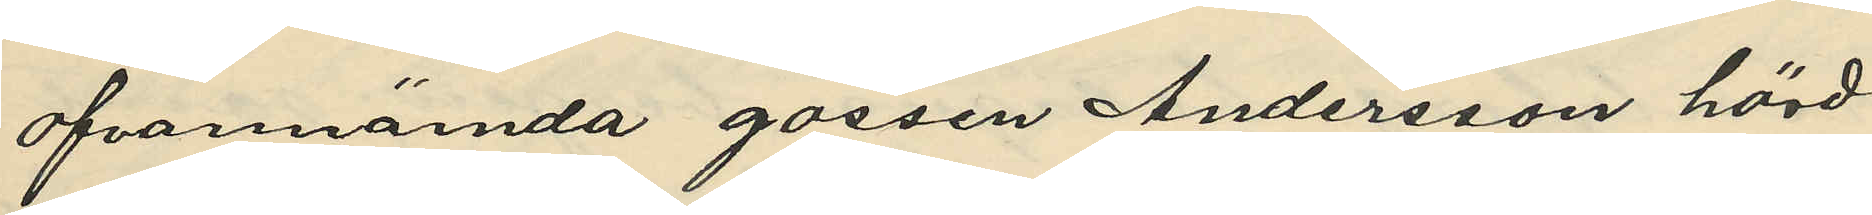ofvannämda gossen Andersson hörd
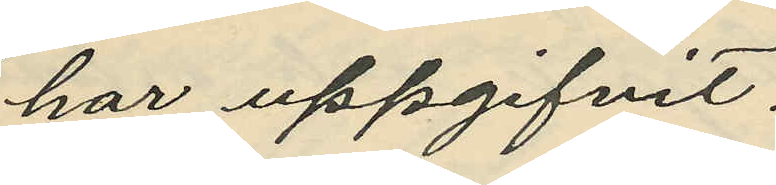har uppgifvit:
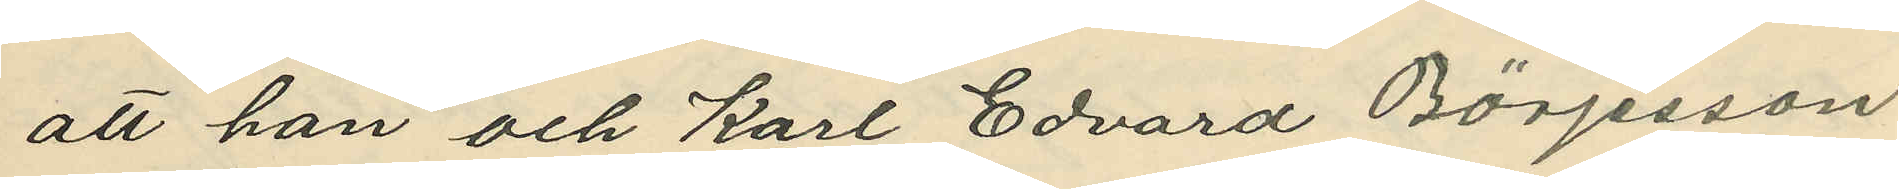att han och Karl Edvard Börjesson
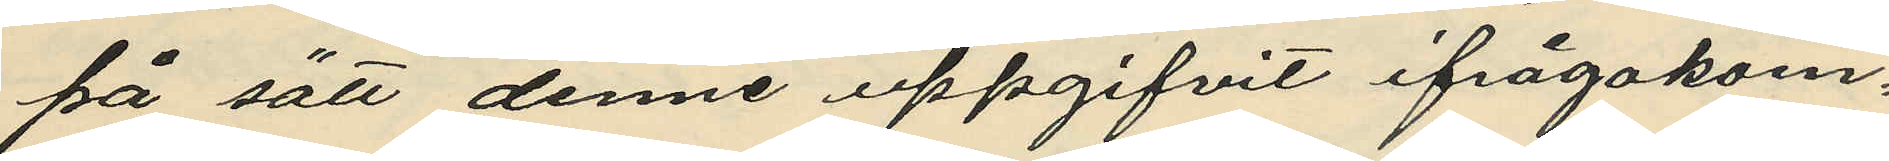på sätt denne uppgifvit ifrågakom¬
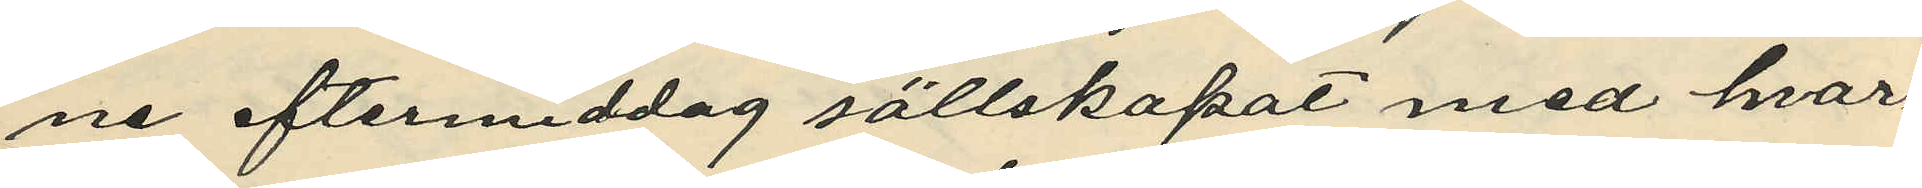ne eftermiddag sällskapat med hvar¬
